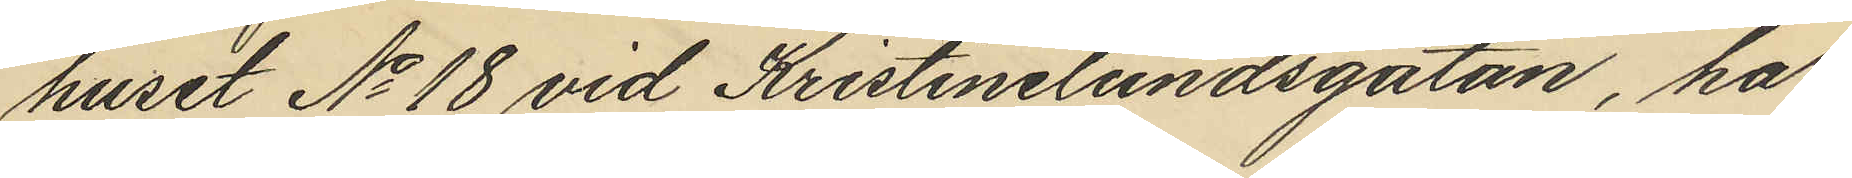huset No 18 vid Kristinelundsgatan, har
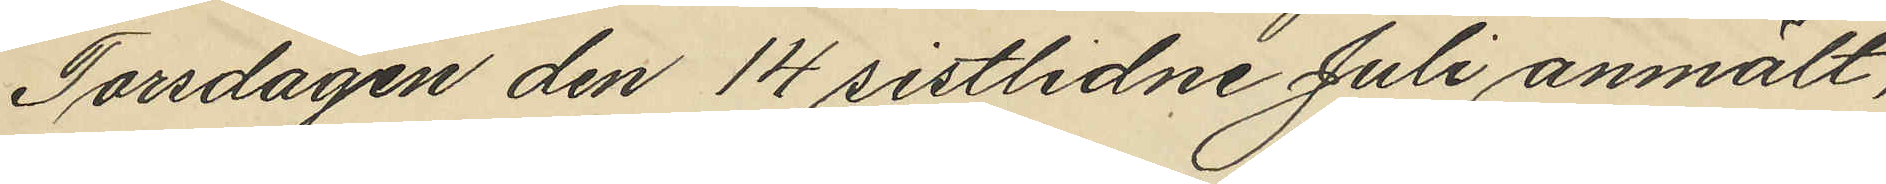Torsdagen den 14 sistlidne Juli anmält,
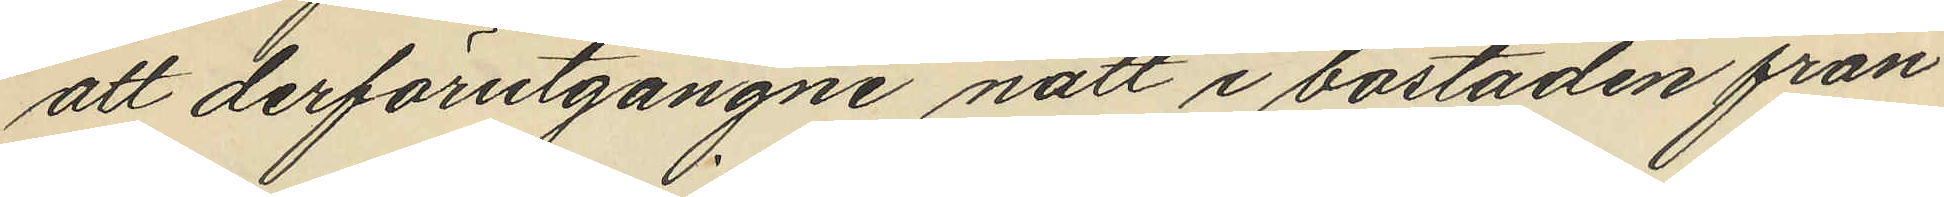att derförutgångne natt i bostaden från
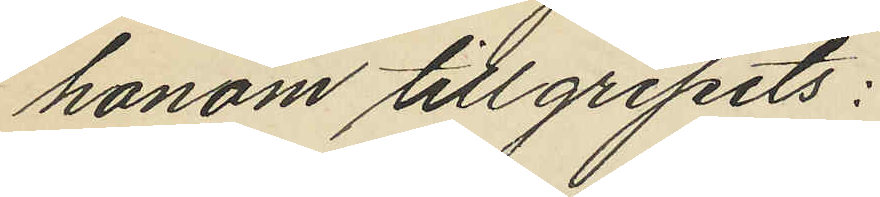honom tillgripits:
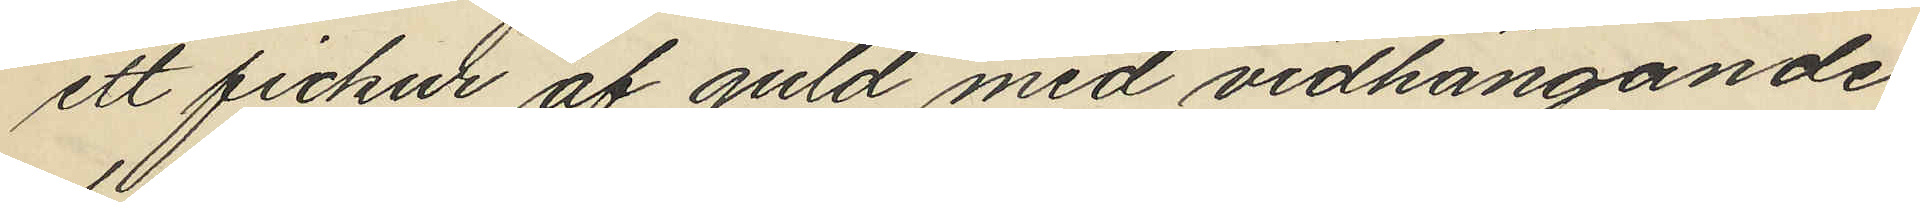ett fickur af guld med vidhängande
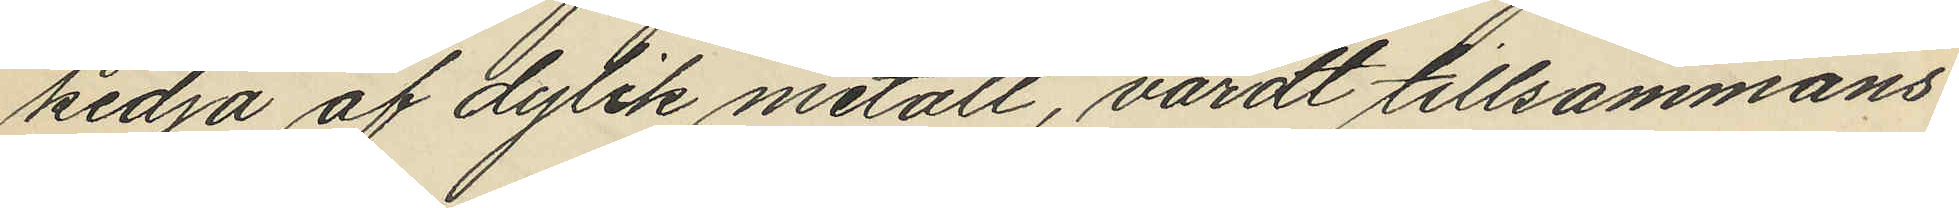kedja af dylik metall, värdt tillsammans
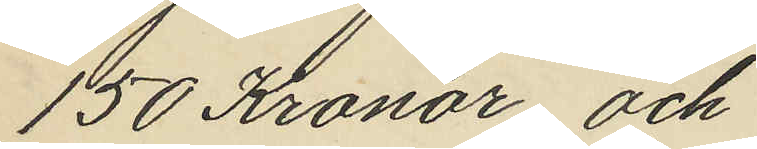150 Kronor och
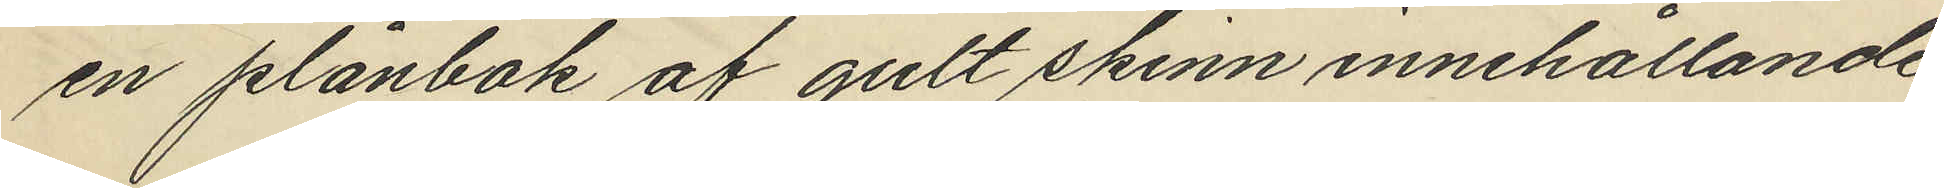en plånbok af gult skinn innehållande
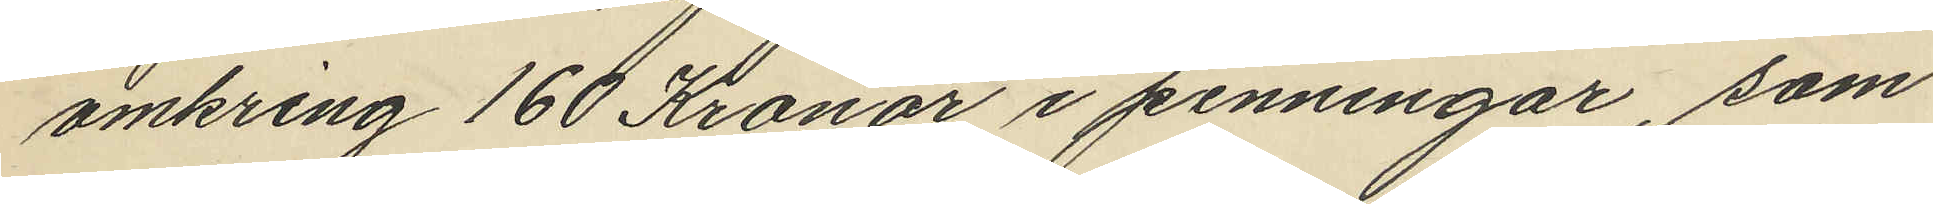omkring 160 Kronor i penningar, som
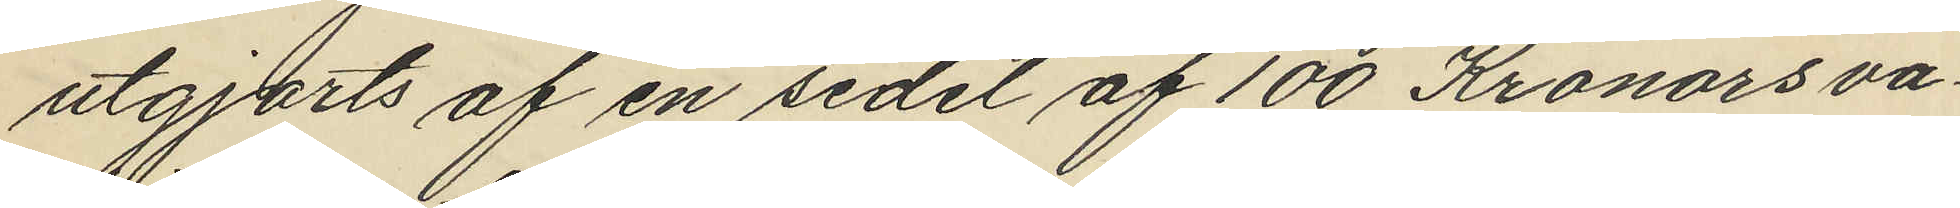utgjorts af en sedel af 100 Kronors va¬
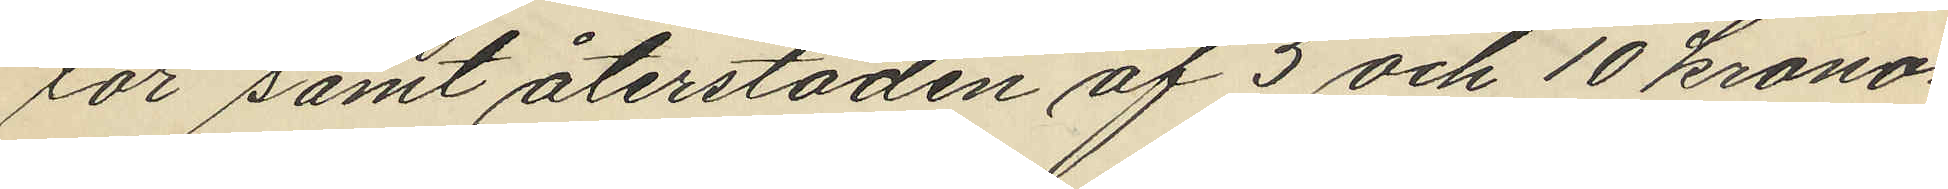lör samt återstoden af 5 och 10 krono¬
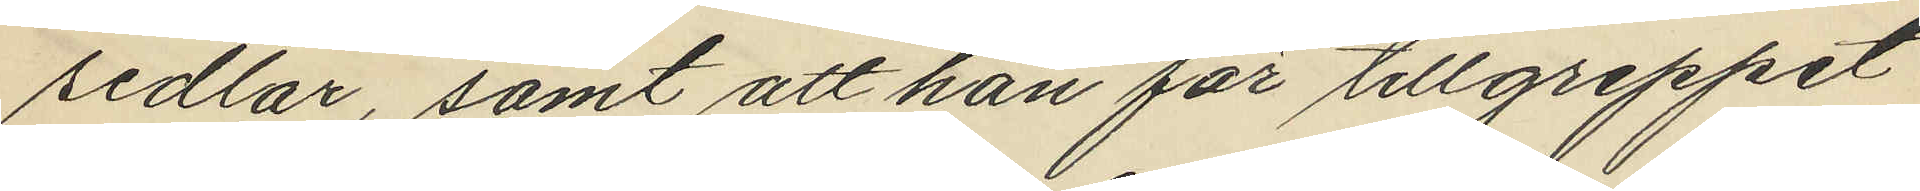sedlar, samt att han för tillgreppet
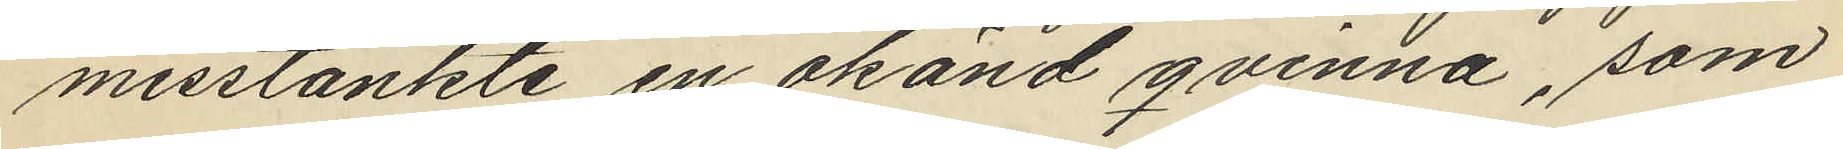misstänkte en okänd qvinna, som
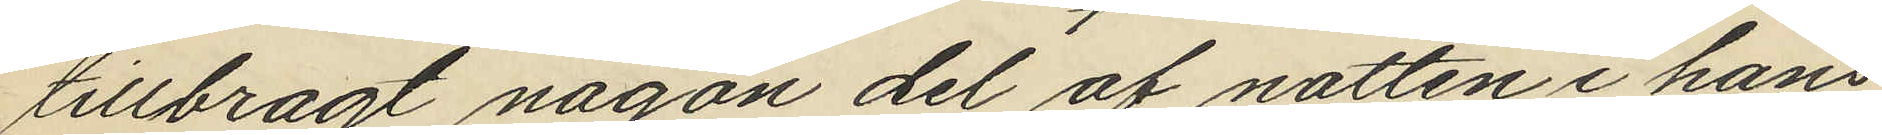tillbragt någon del af natten i hans
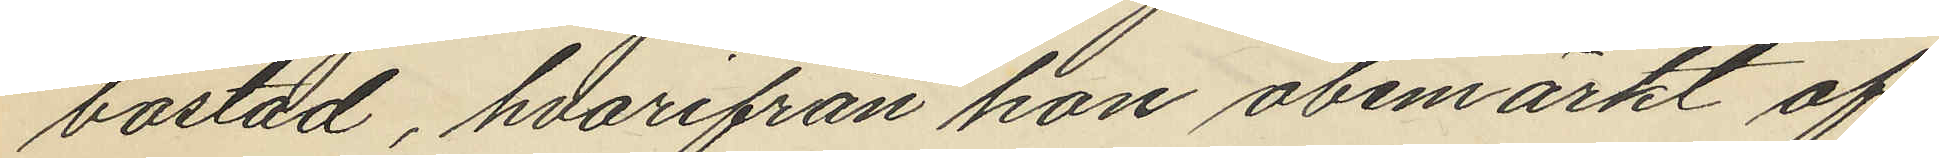bostad, hvarifrån hon obemärkt af¬
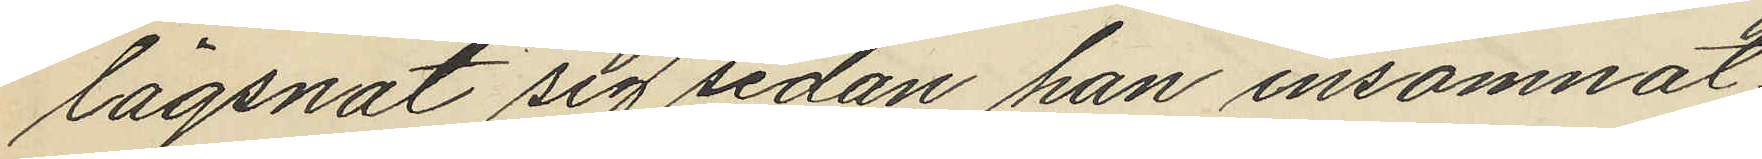lägsnat sig sedan han insomnat.
